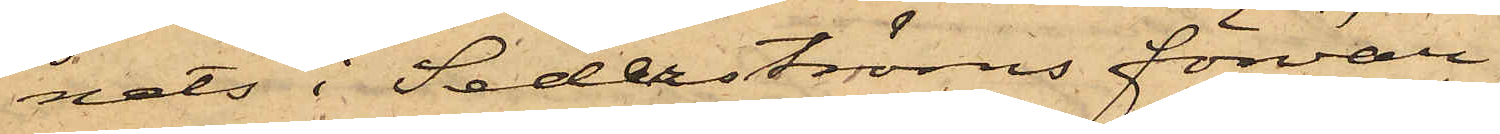nats i Sederströms förvar.
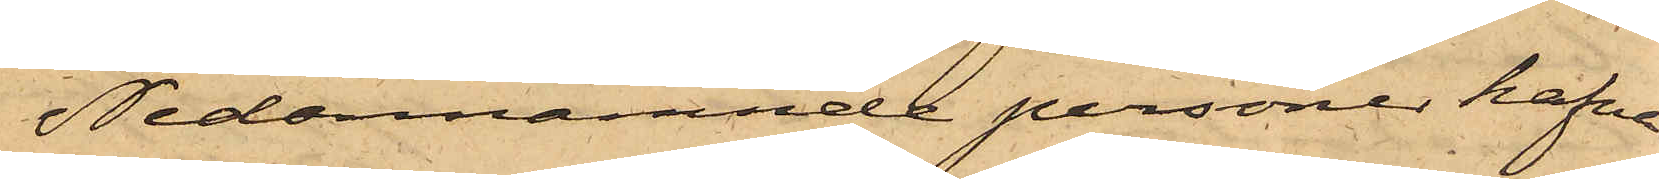Nedannämnde personer hafva
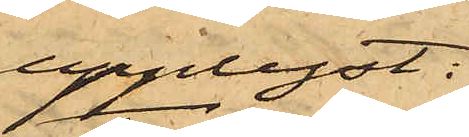upplyst:
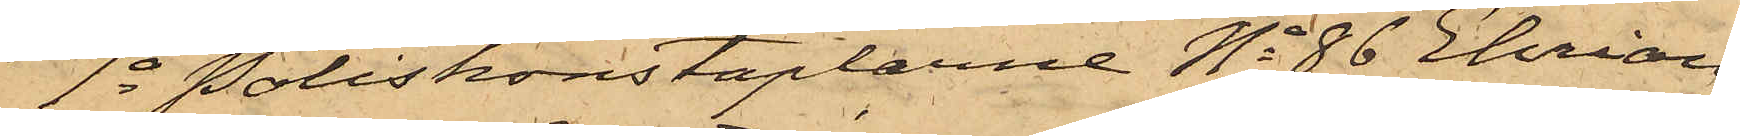1o Poliskonstaplarne No 86 Ehrian¬
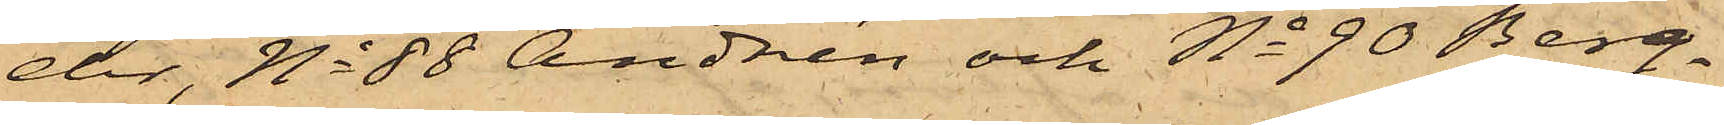der, No 88 Andrén och No 90 Berg¬
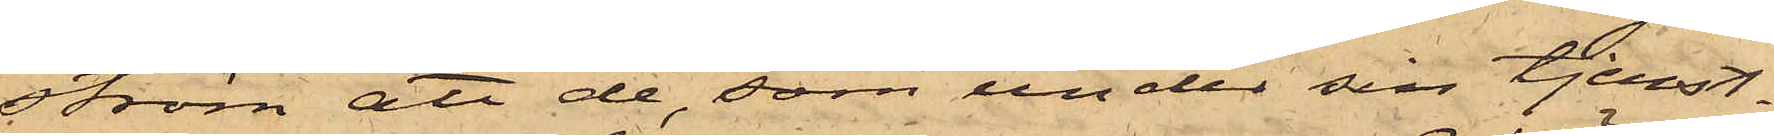ström att de, som under sin tjenst¬
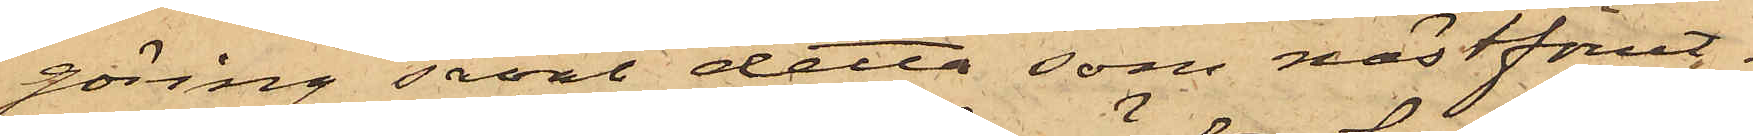göring såväl detta som nästförut¬
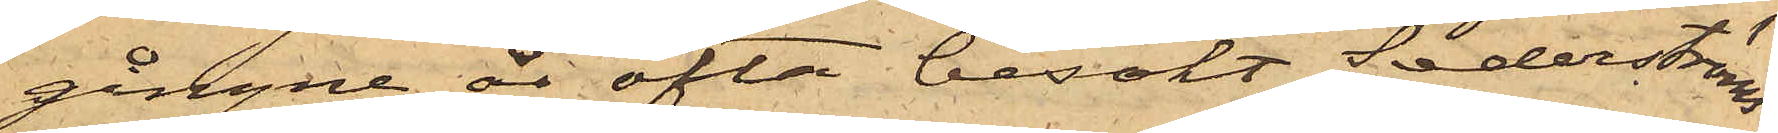gångne år ofta besökt Sederströms
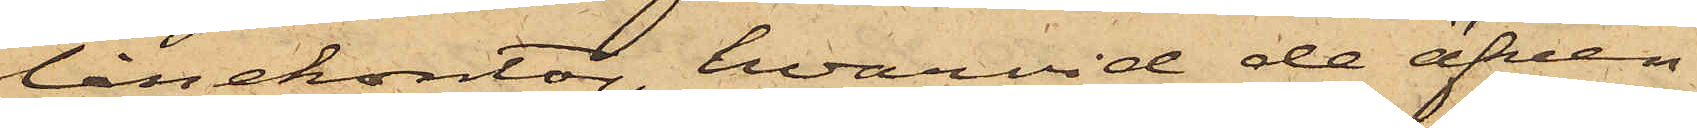lånekontor, hvarvid de äfven
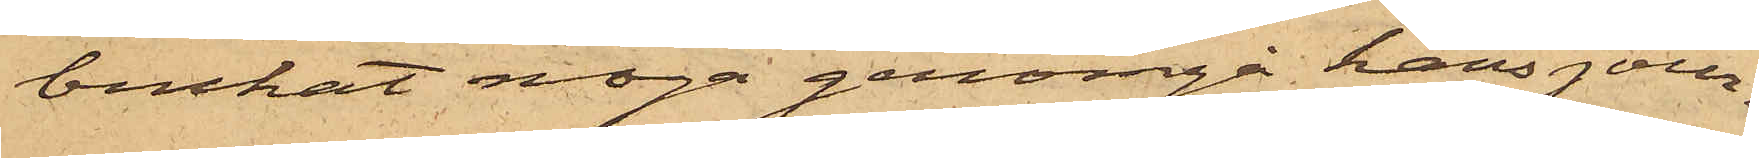brukat noga genomgå hans jour¬
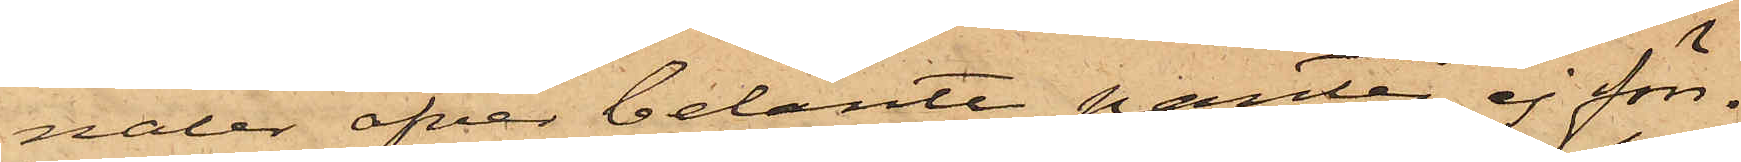naler öfver belånte panter, ej förr¬
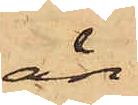än
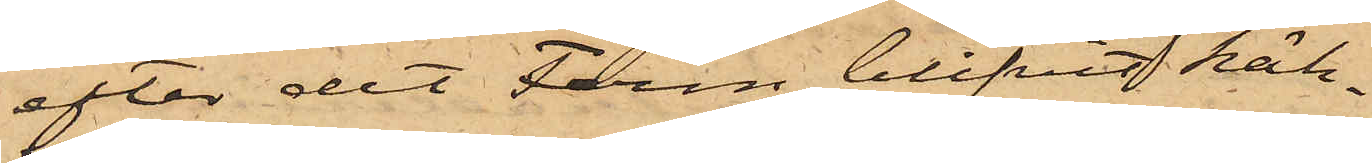efter det Ferm blifvit häk¬
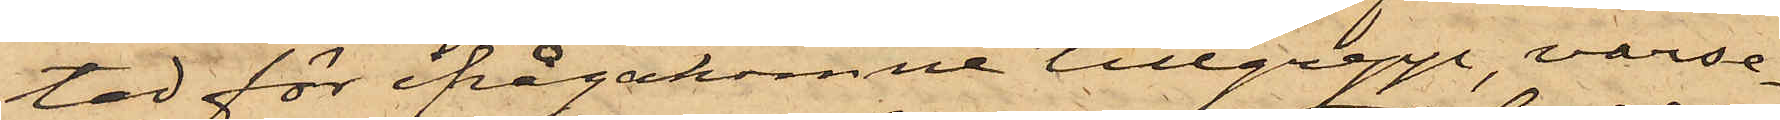tad för ifrågakomne tillgrepp, varse¬
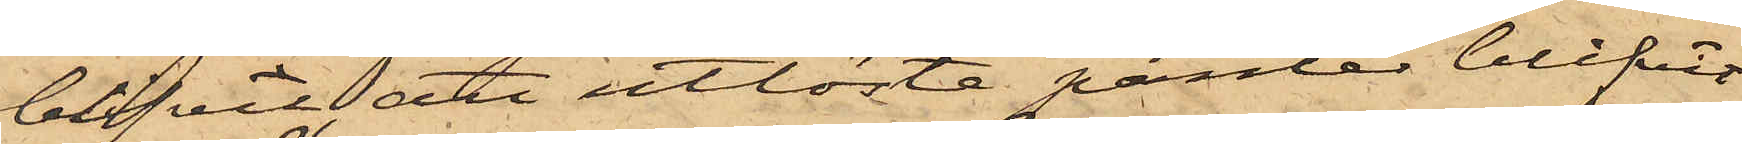blifvit att utlösta panter blifvit
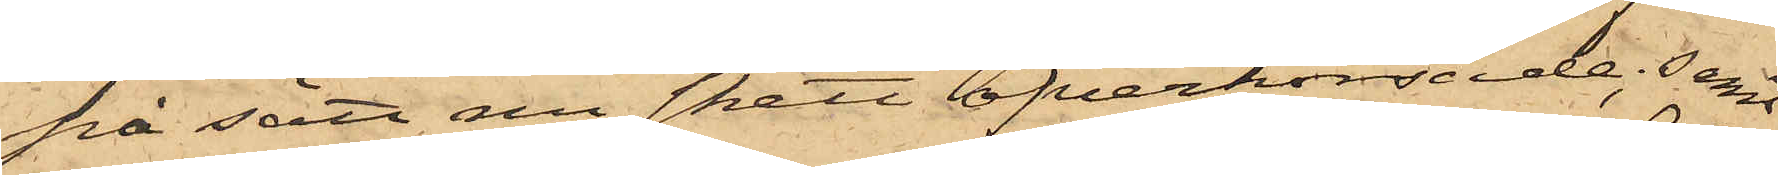på sätt nu skett öfverkorsade; samt
